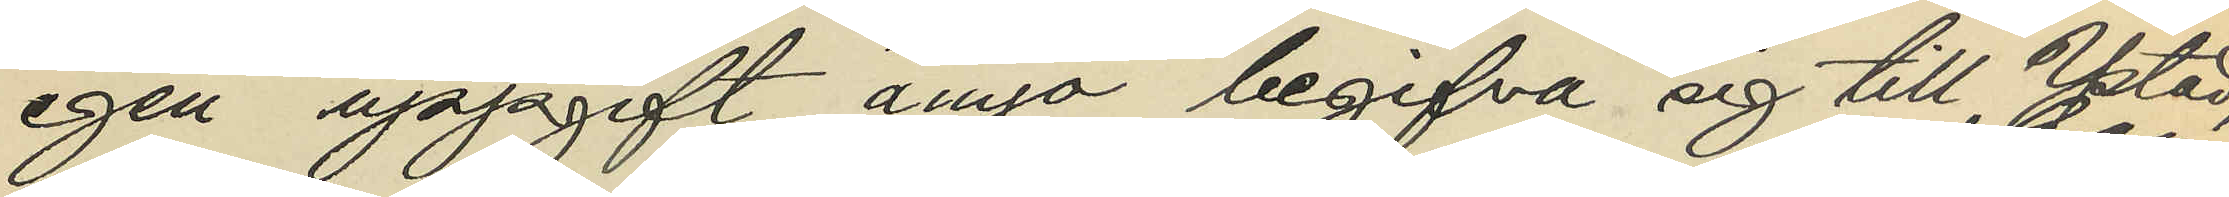egen uppgift ånyo begifva sig till Ystad;
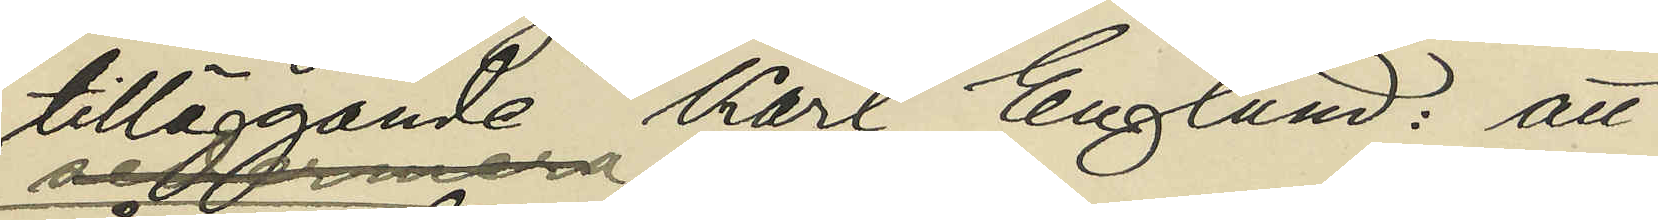tilläggande Karl Englund: att
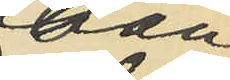han
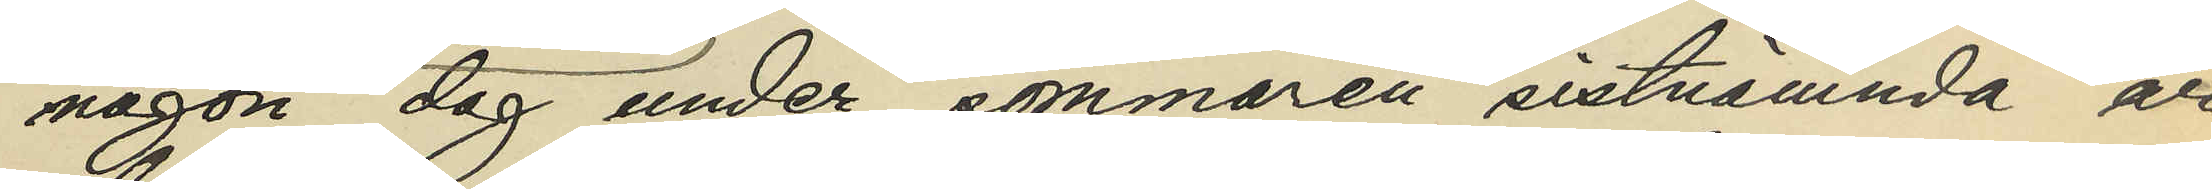någon dag under sommaren sistnämnda år
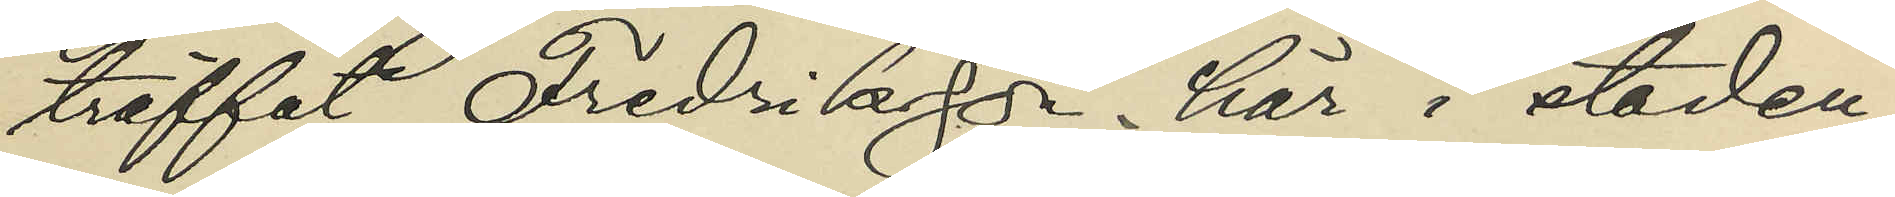träffat Fredriksson här i staden;
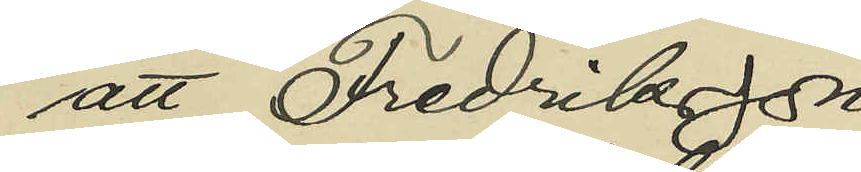att Fredriksson
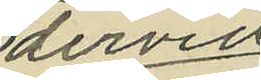dervid
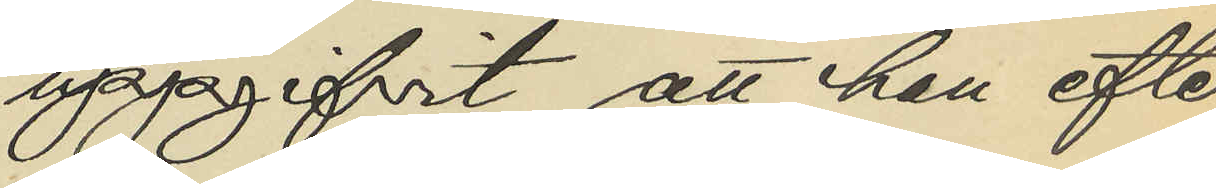uppgifvit att han efter
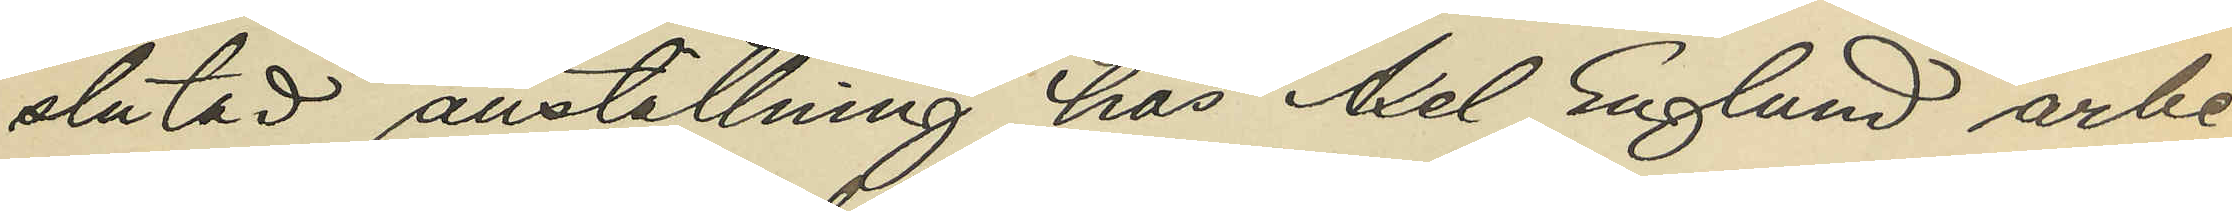slutad anställning hos Axel Englund arbe¬
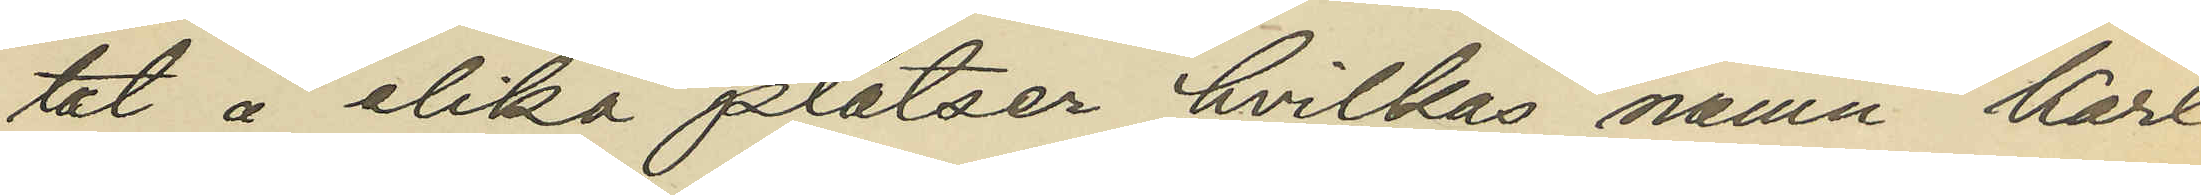tat å olika platser hvilkas namn Karl
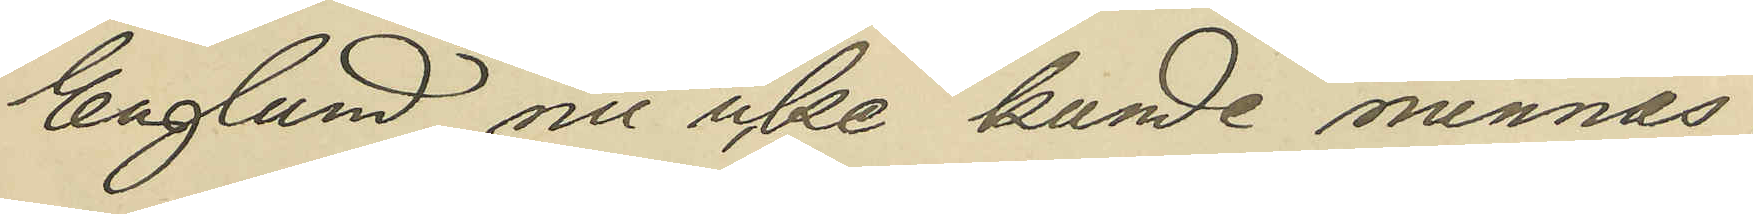Englund nu icke kunde minnas;
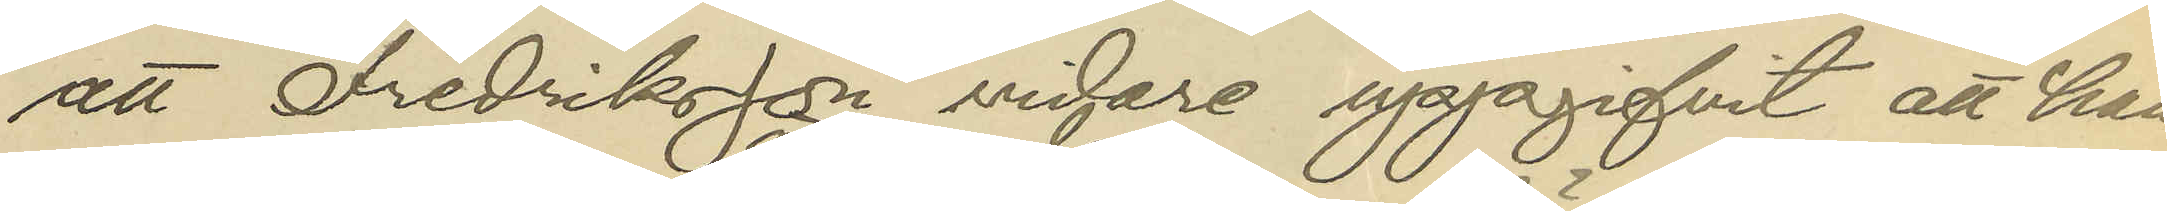att Fredriksson vidare uppgifvit att han
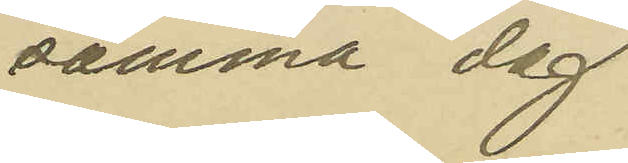samma dag
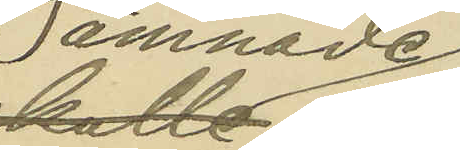ämnade
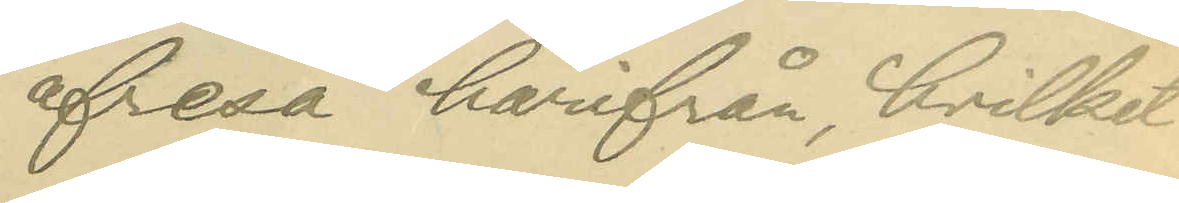afresa härifrån, hvilket
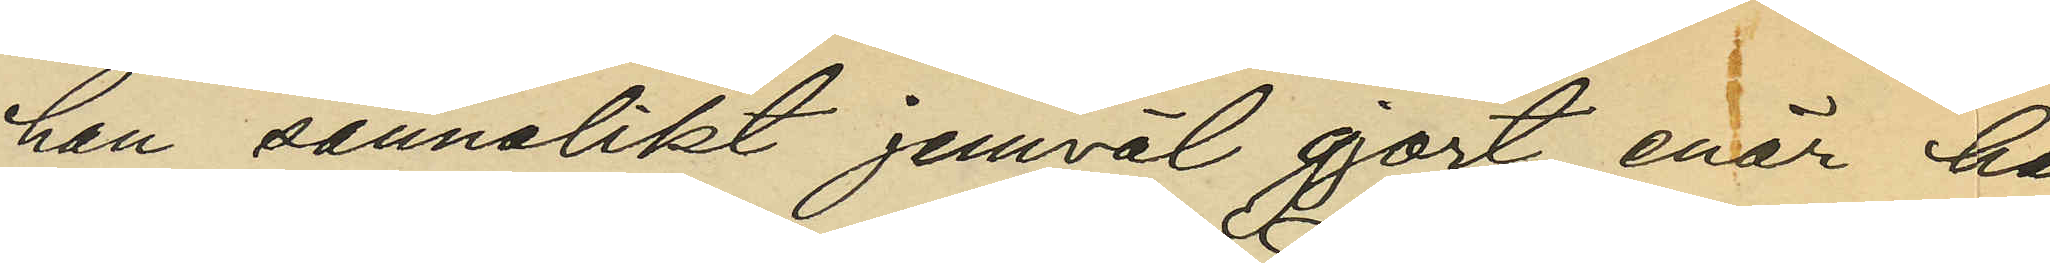han sannolikt jemväl gjort, enär han
